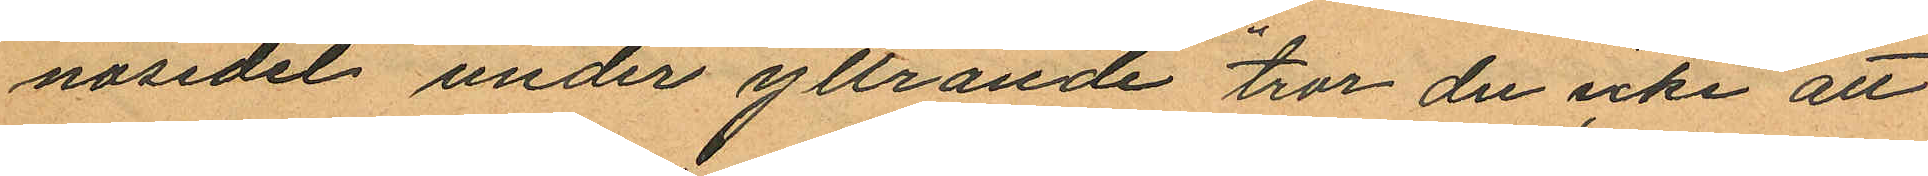nosedel under yttrande "tror du icke att
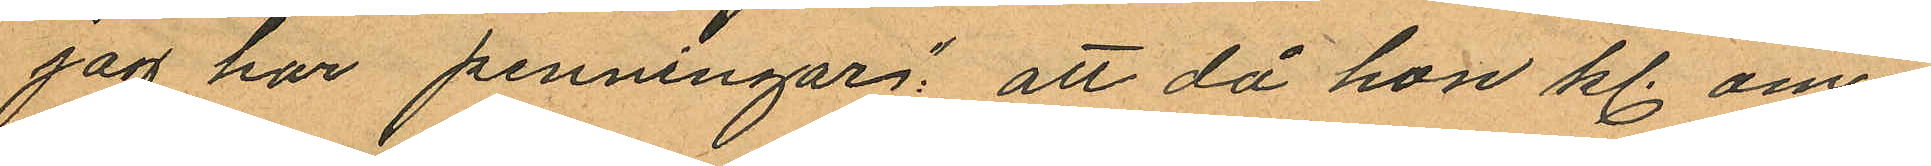jag har penningar", att då hon kl. om¬
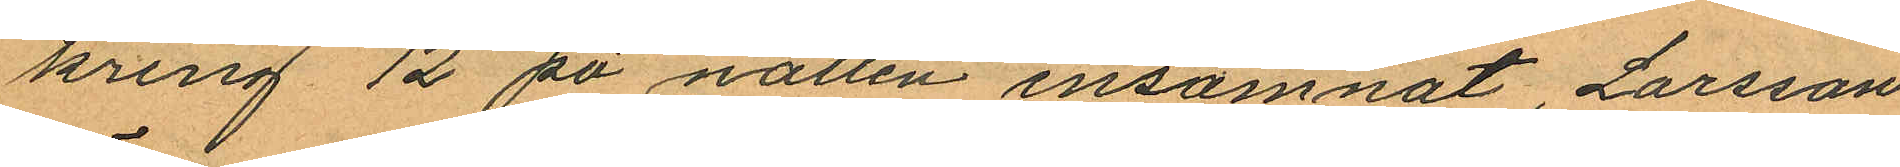kring 12 på natten insomnat, Larsson
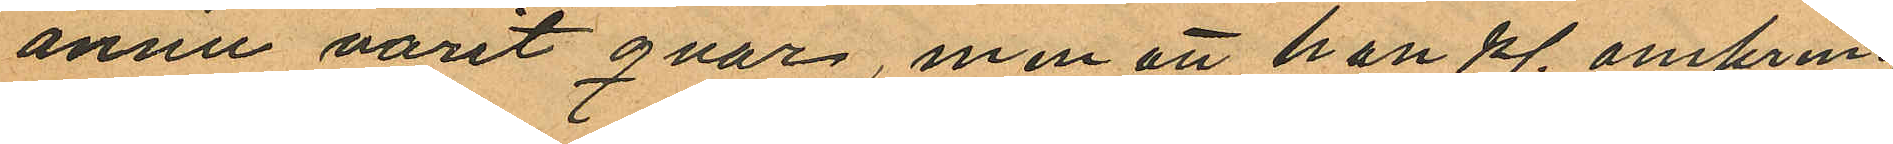ännu varit qvar, men att han kl. omkring
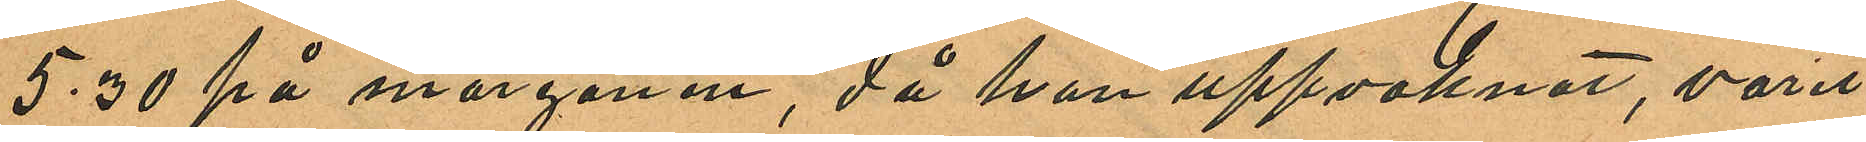5.30 på morgonen, då hon uppvaknat, varit
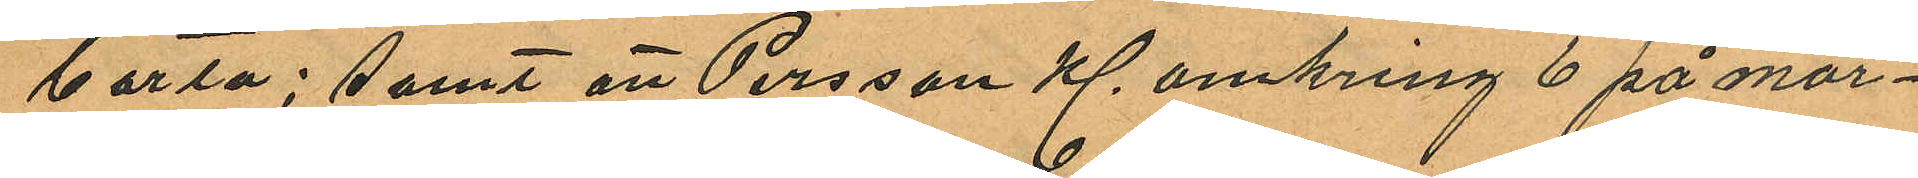borta; samt att Persson Kl omkring 6 på mor¬
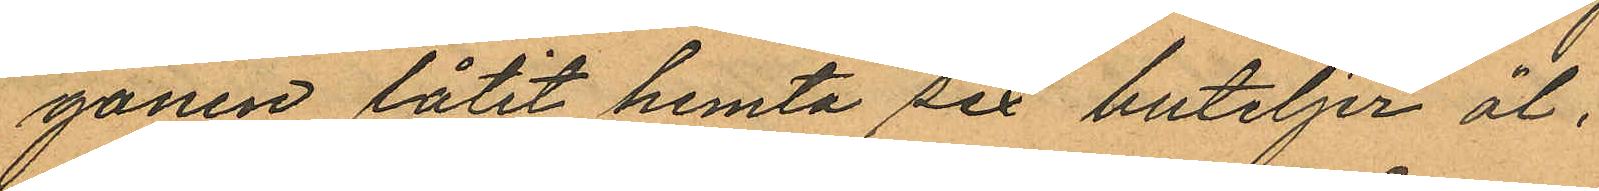gonen låtit hemta sex buteljer öl.
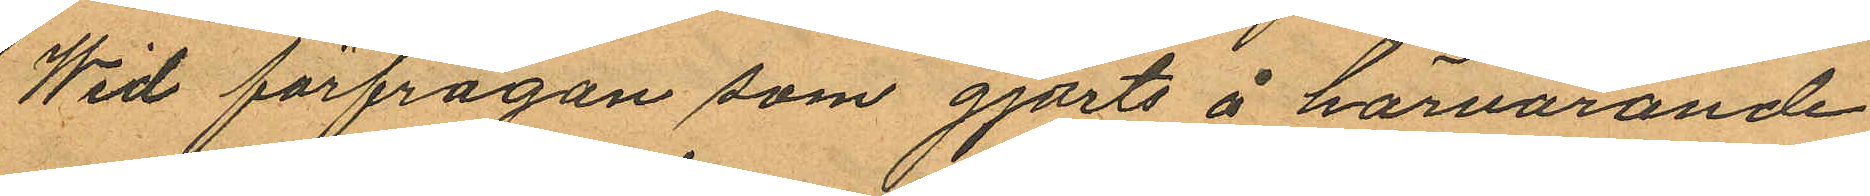Wid förfrågan som gjorts å härvarande
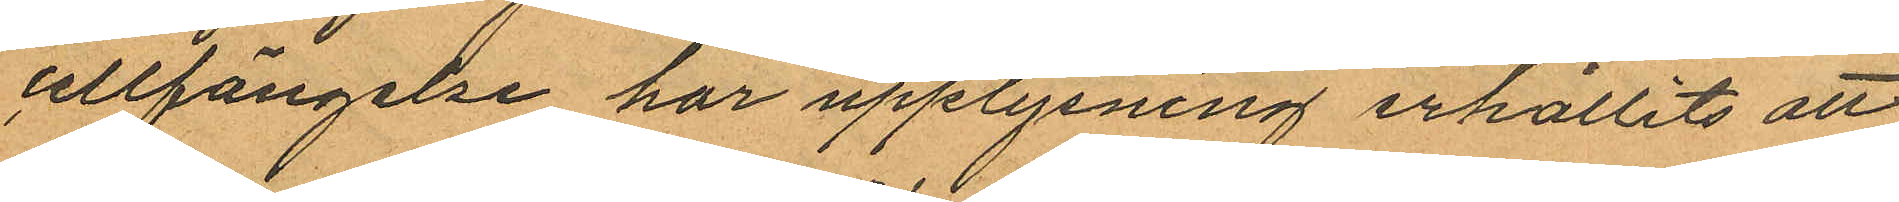cellfängelse har upplysning erhållits att
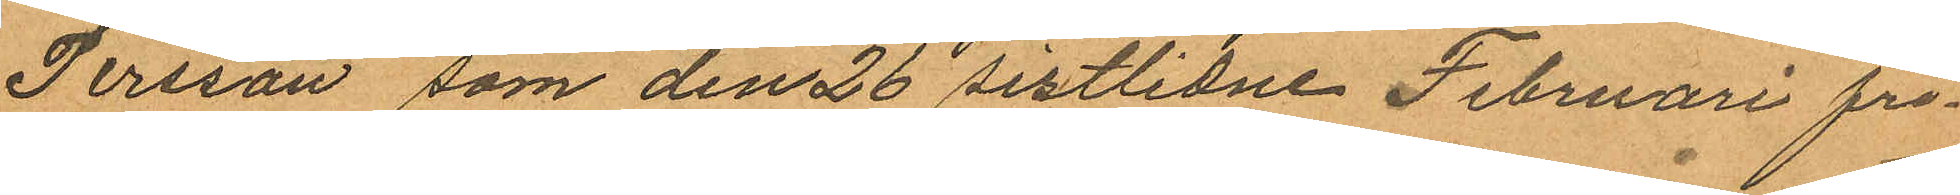Persson som den 26 sistlidne Februari fri¬
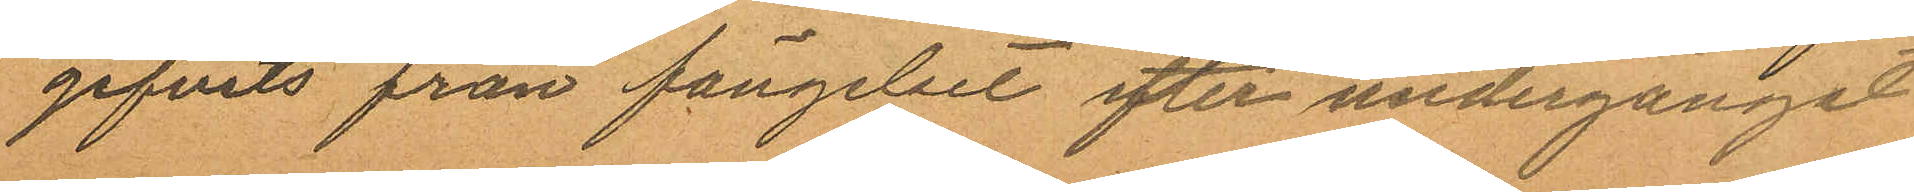gifvits från fängelset efter undergånget
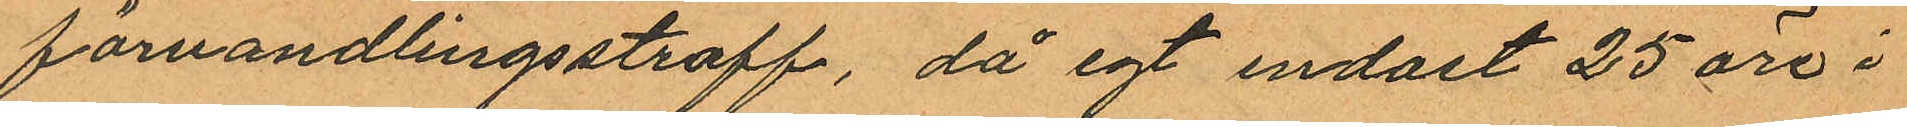förvandlingsstraff, då egt endast 25 öre i
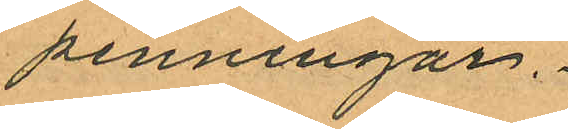penningar.
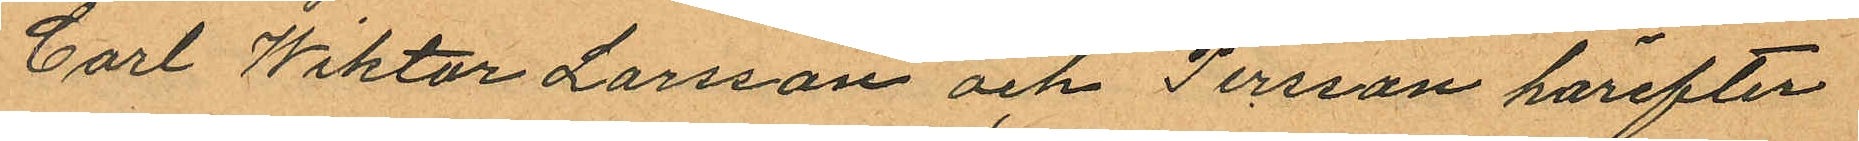Carl Wiktor Larsson och Persson härefter
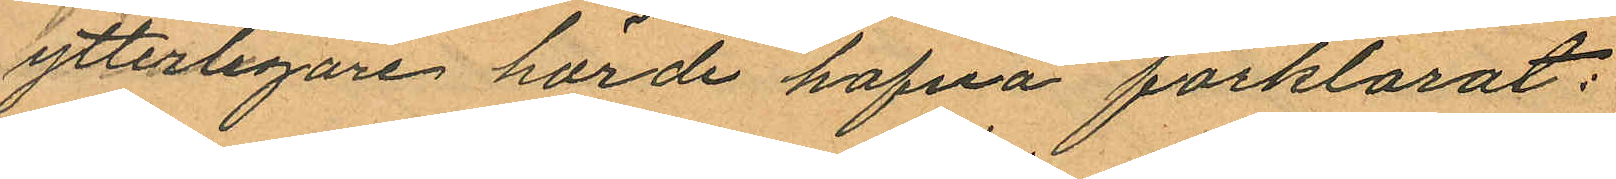ytterligare hörde hafva förklarat:
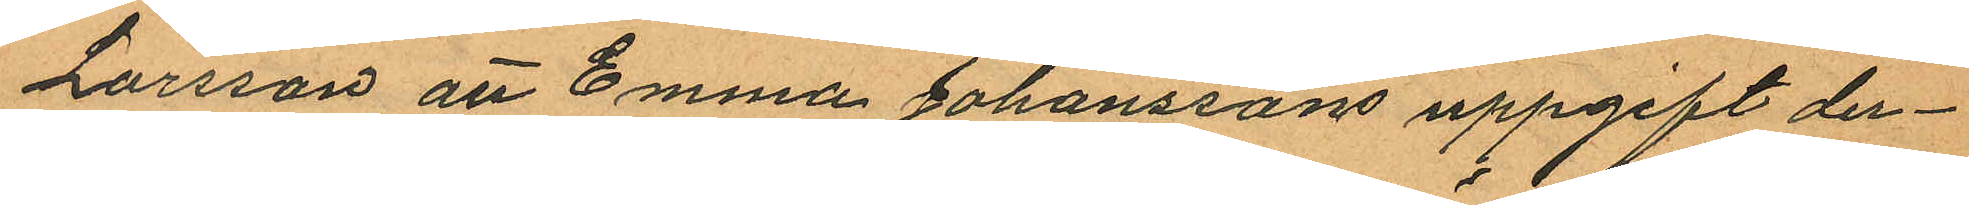Larsson att Emma Johanssons uppgift der¬
